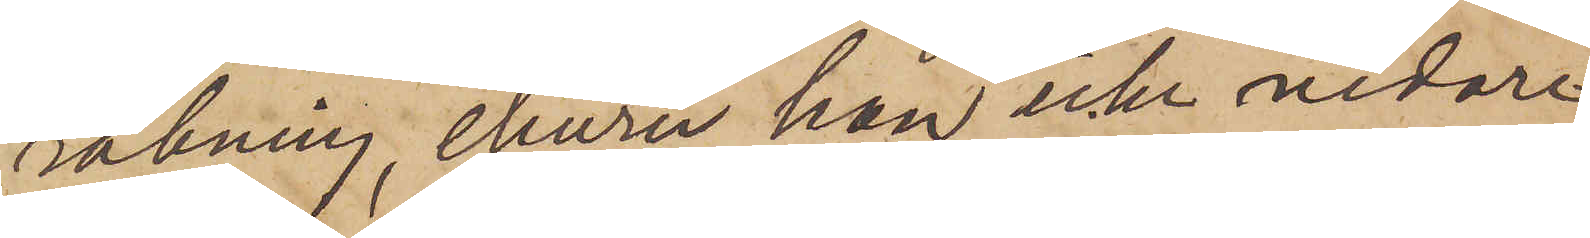räkning, ehuru han icke vidare
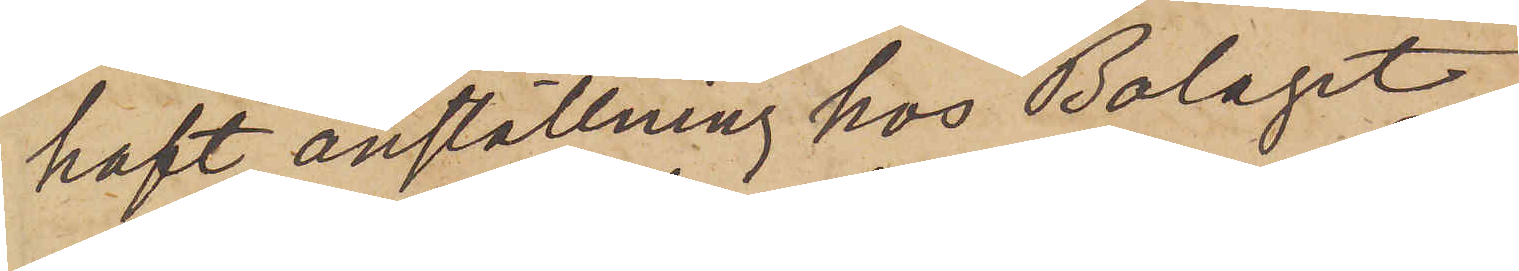haft anställning hos Bolaget.
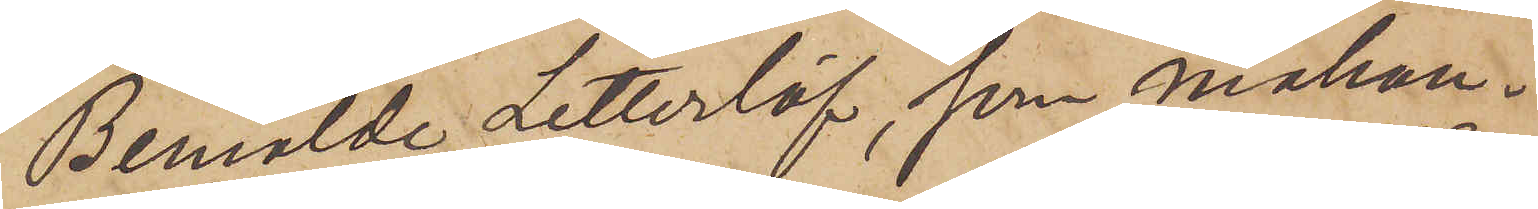Bemälde Zetterlöf, som måhän¬
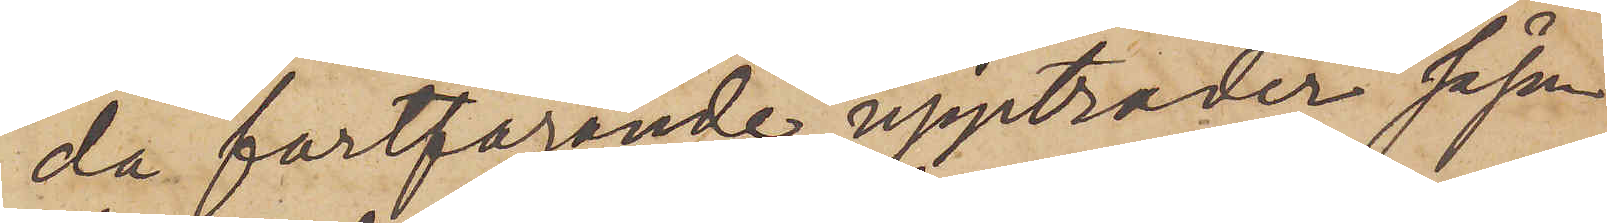da fortfarande uppträder såsom
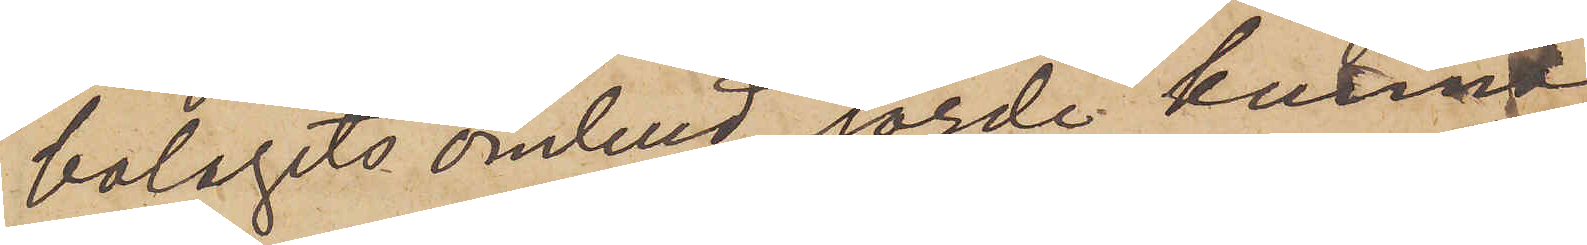bolagets ombud, torde kunna
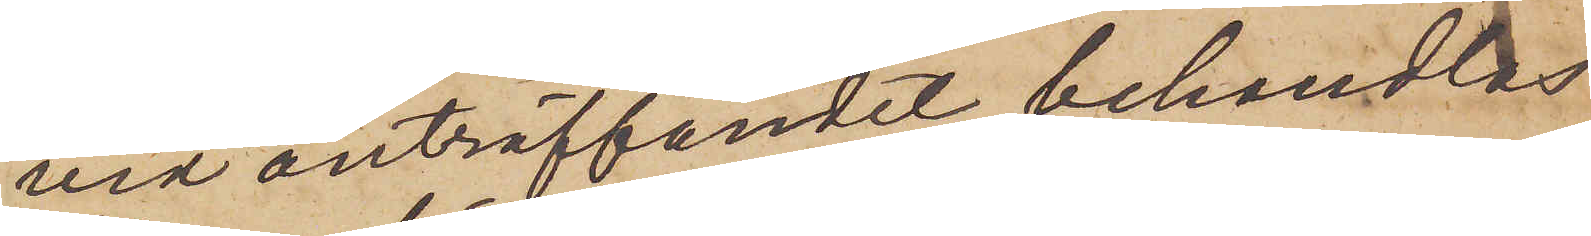vid anträffandet behandlas
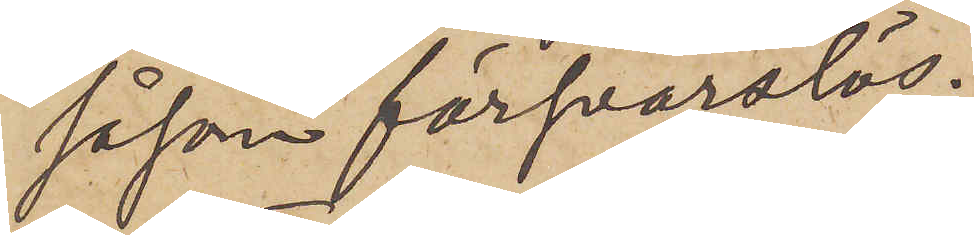såsom försvarslös.
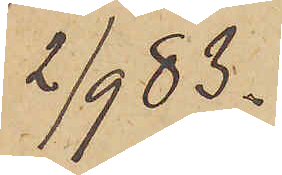2/9 83.
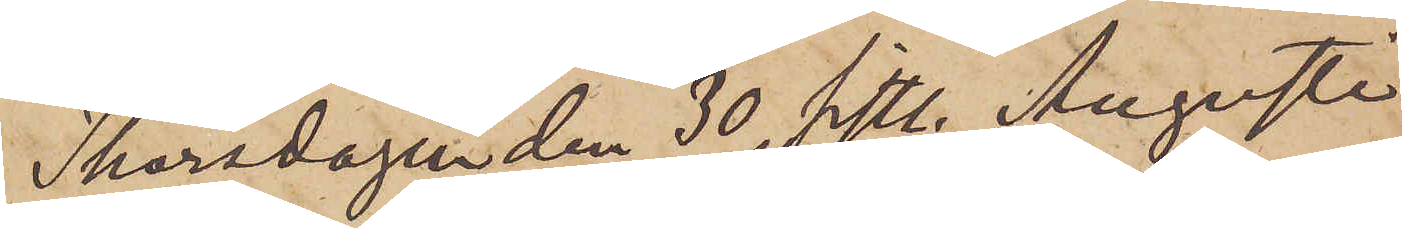Thorsdagen den 30 sistl. Augusti
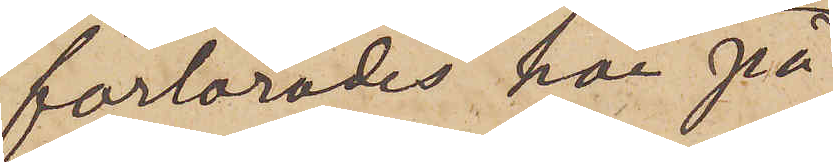förlorades här på
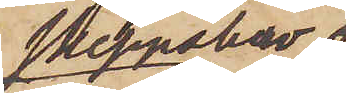Skeppsbro
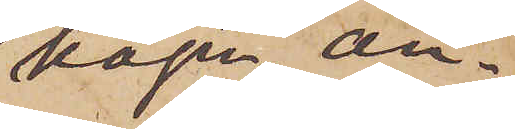kajen, an¬
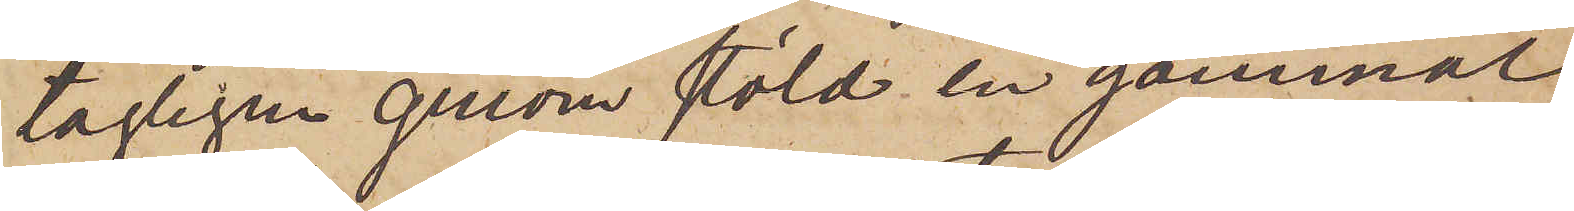tagligen genom stöld en gammal
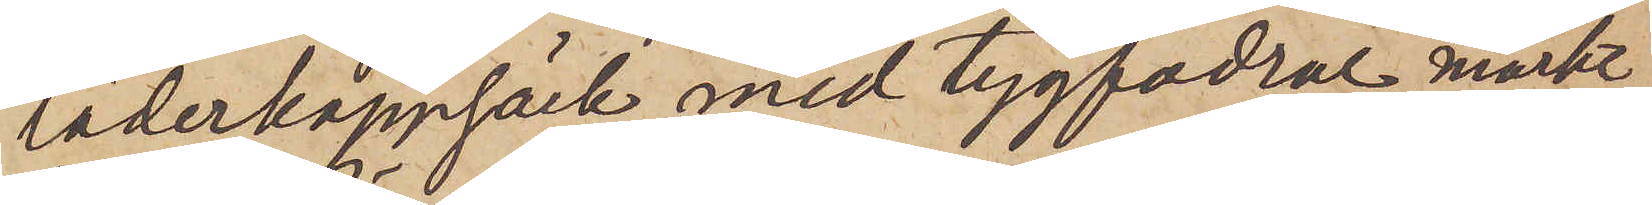läderkappsäck med tygfodral, märkt
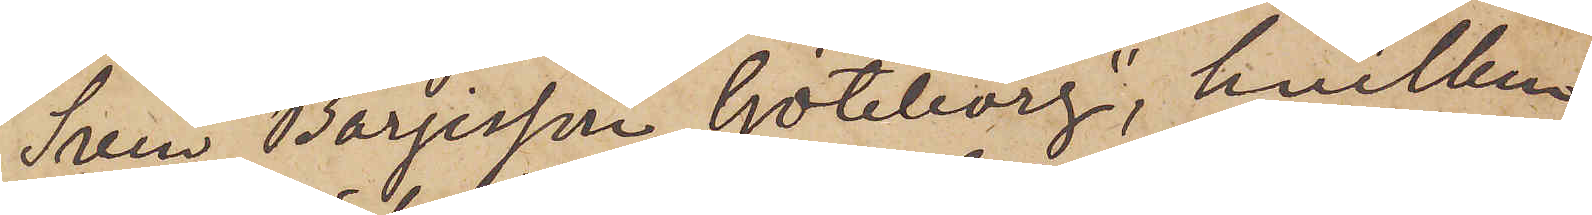"Sven Börjesson, Göteborg", hvilken
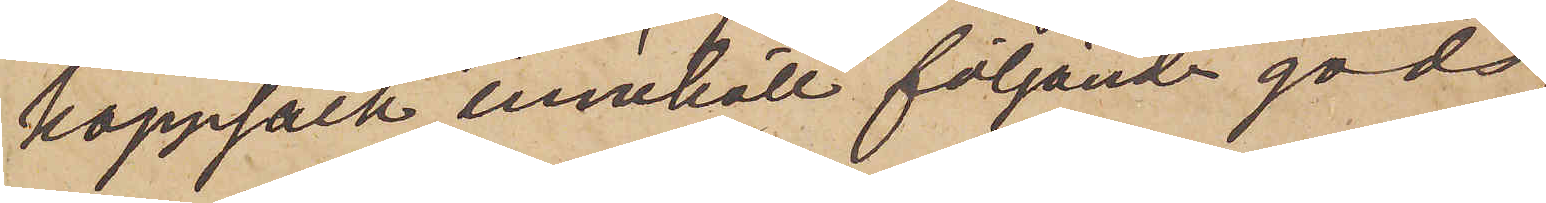kappsäck innehöll följande gods,
